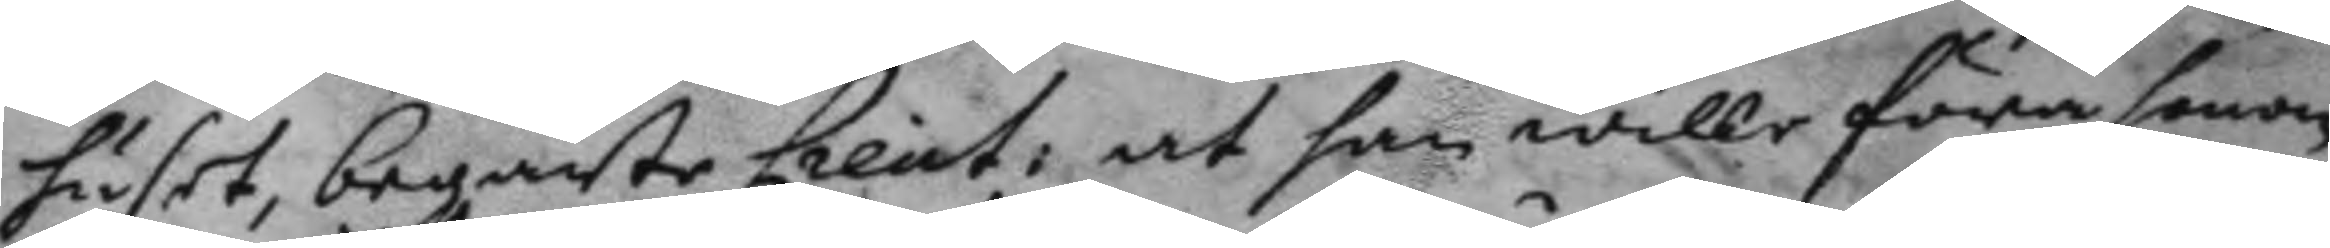huset, begärte Lieut: at han wille föra honom
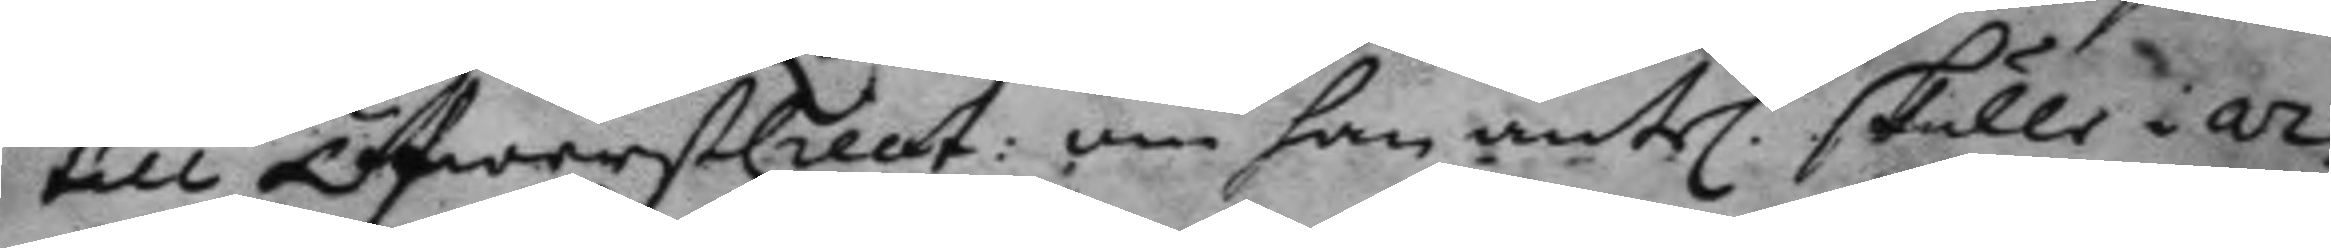till ÖfwerstLieut: om han äntel. skulle i ar¬
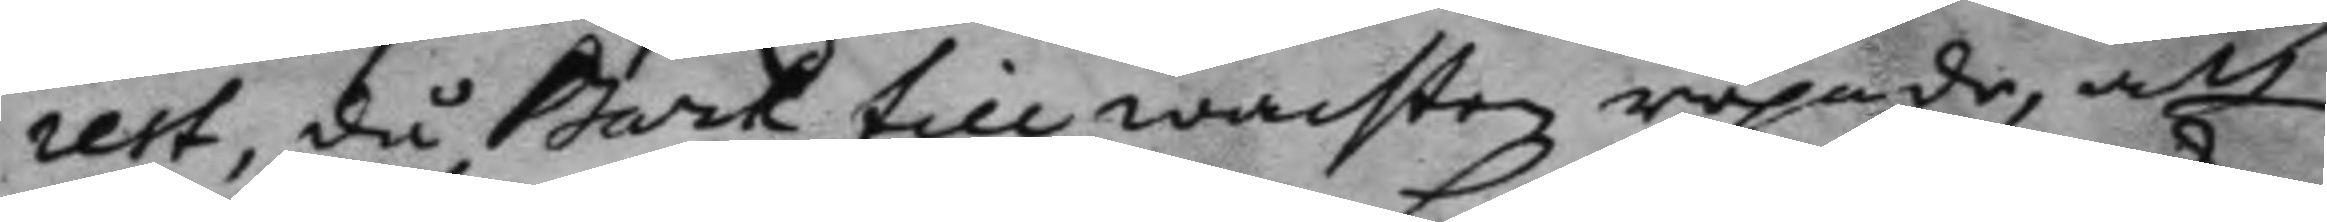rest, då Bark till wachten ropade, att
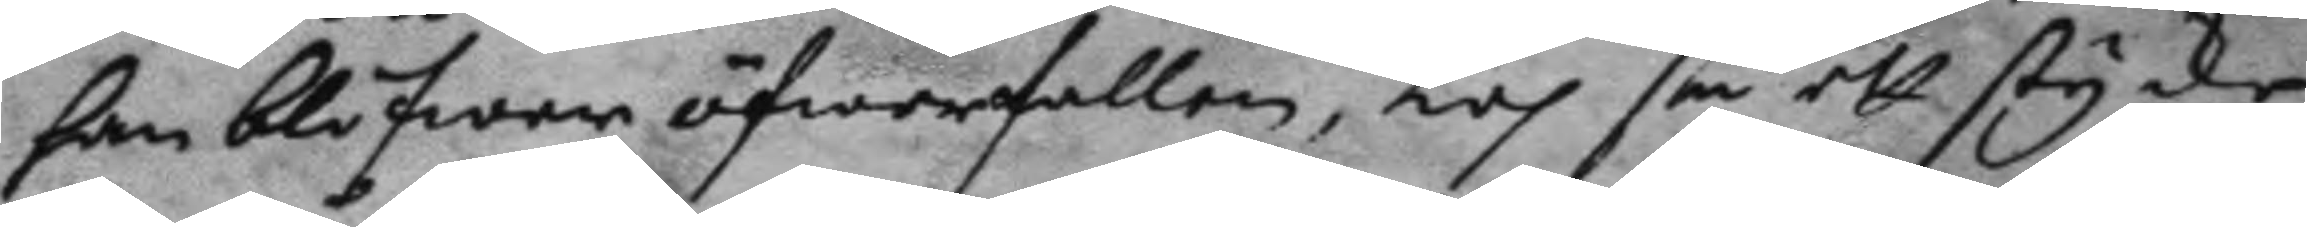han blifwer öfwerfallen, Log så ett stycke
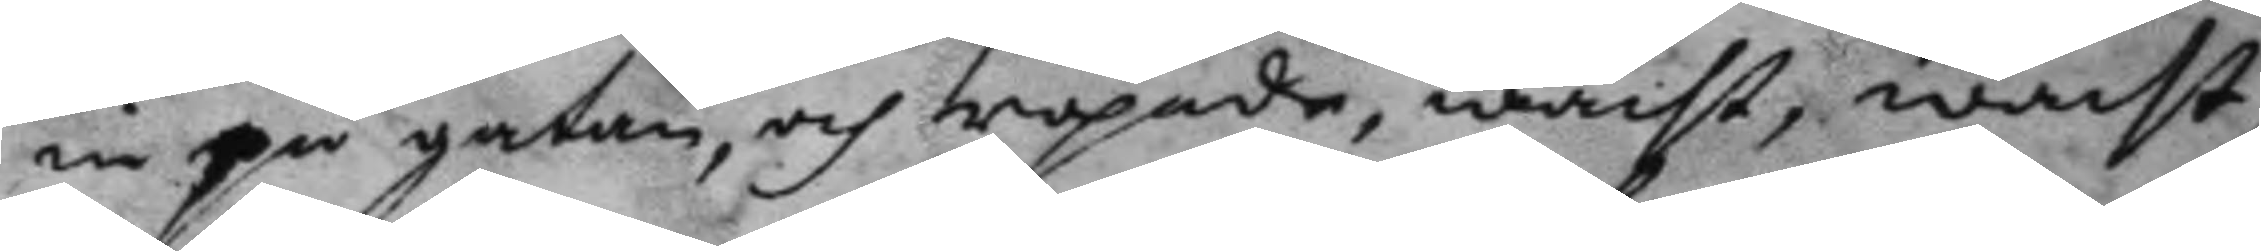in på gatan, och ropade, wacht, wacht,
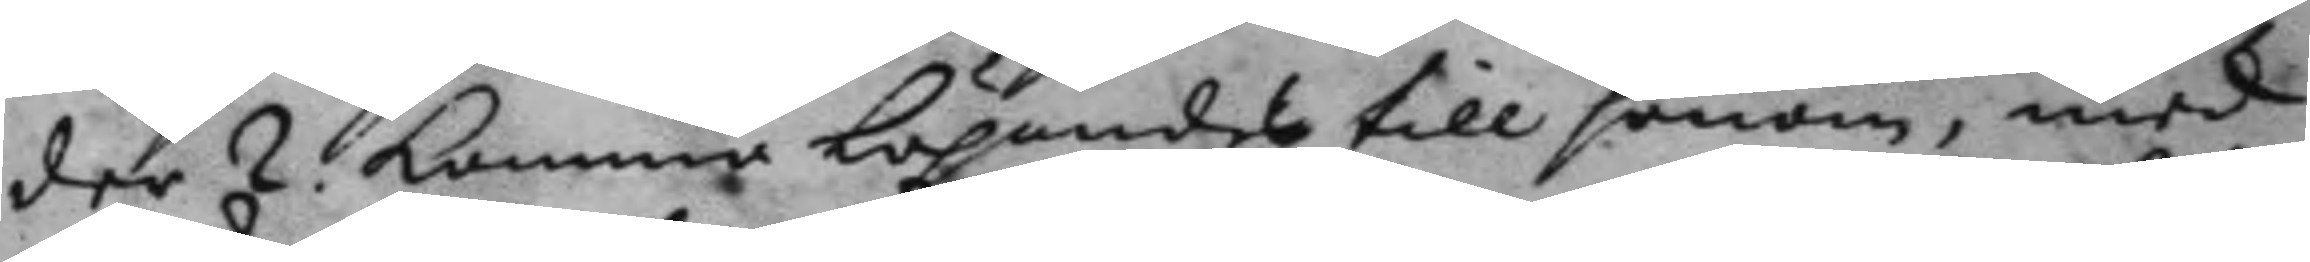der 2. kommer löpandes till honom, med
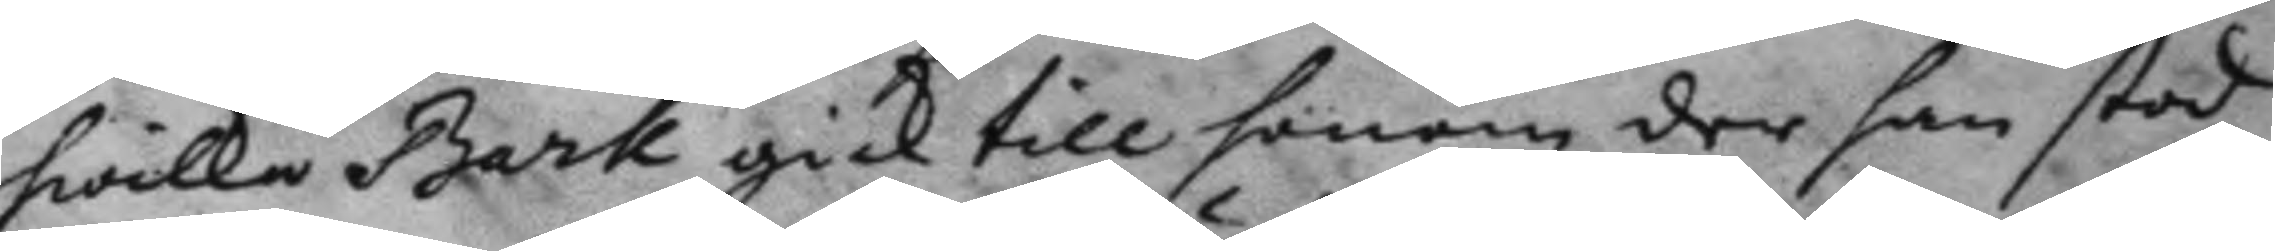hwilka Bark gick till honom der han stod
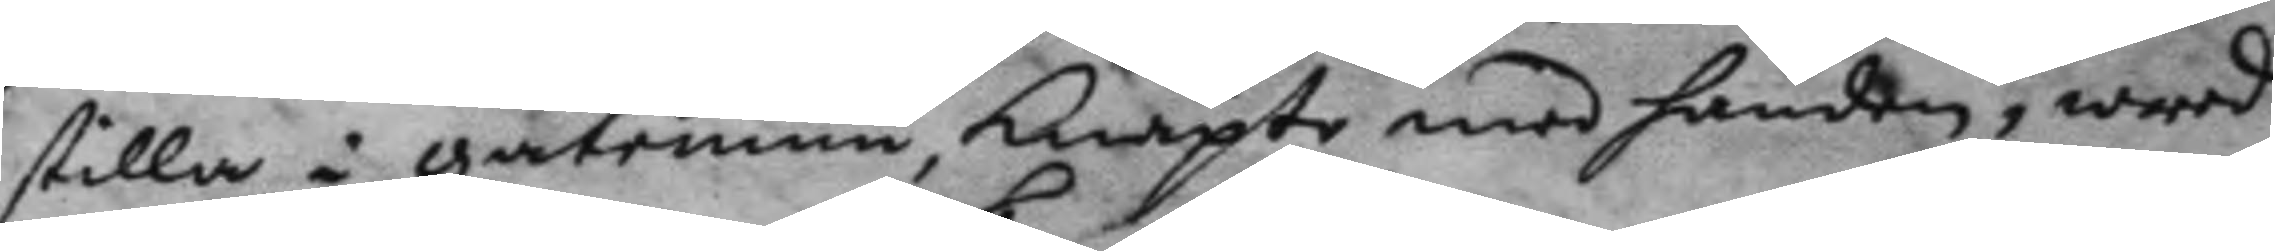stilla i gatemun, knäpte med handen, wred
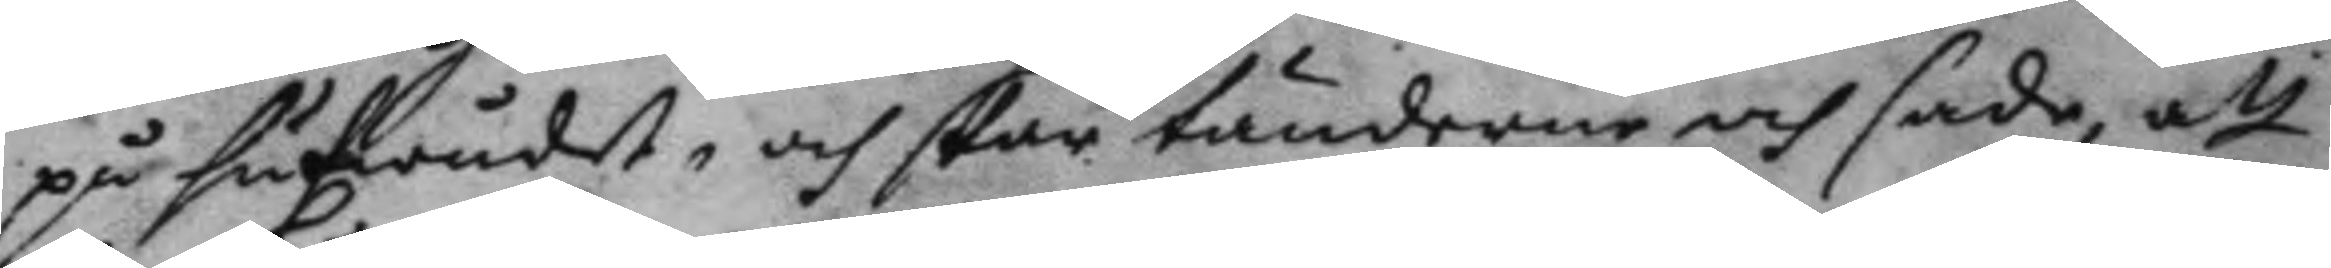på hufwudet, och skar tänderne oc sade att
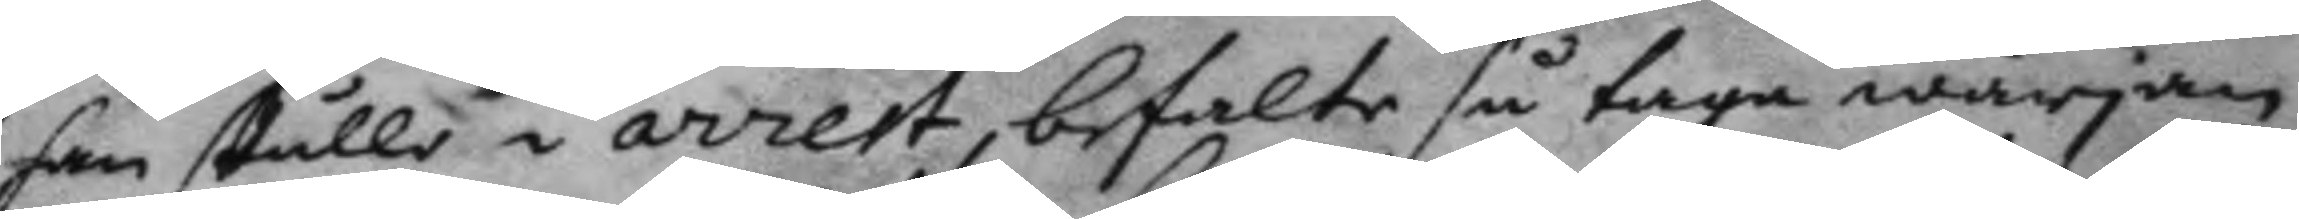han skulle i arrest, befalte så taga wärjan
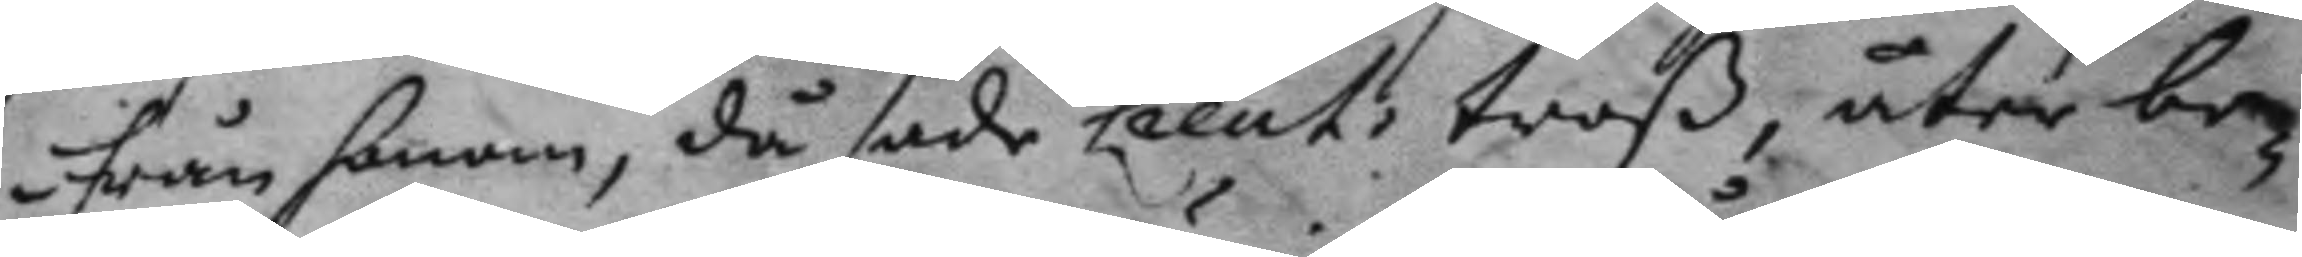ifrån honom, då sade Lieut; troß,åter be¬
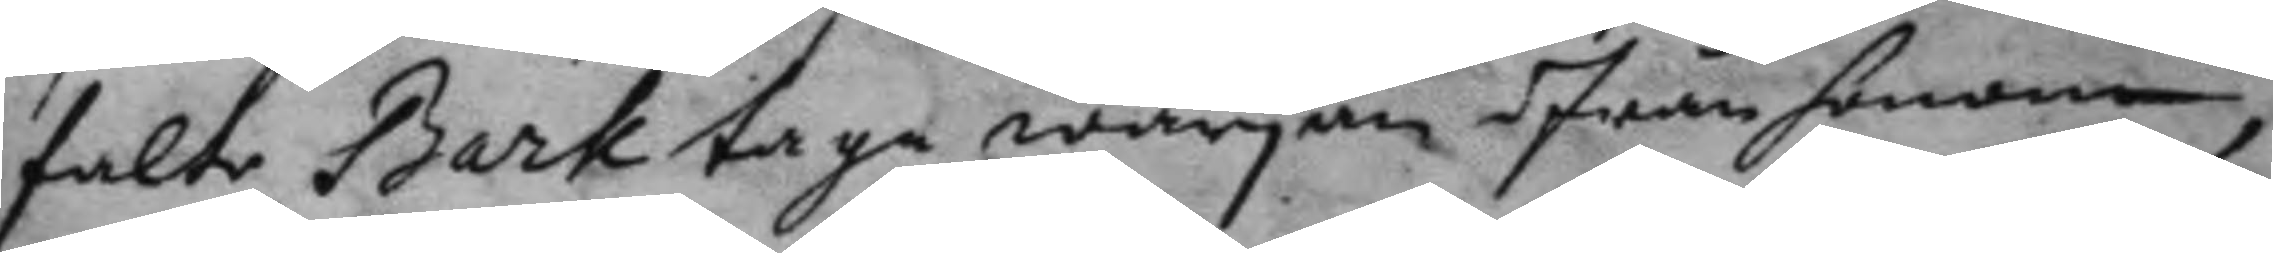falte Bark taga wärjan ifrån honom,
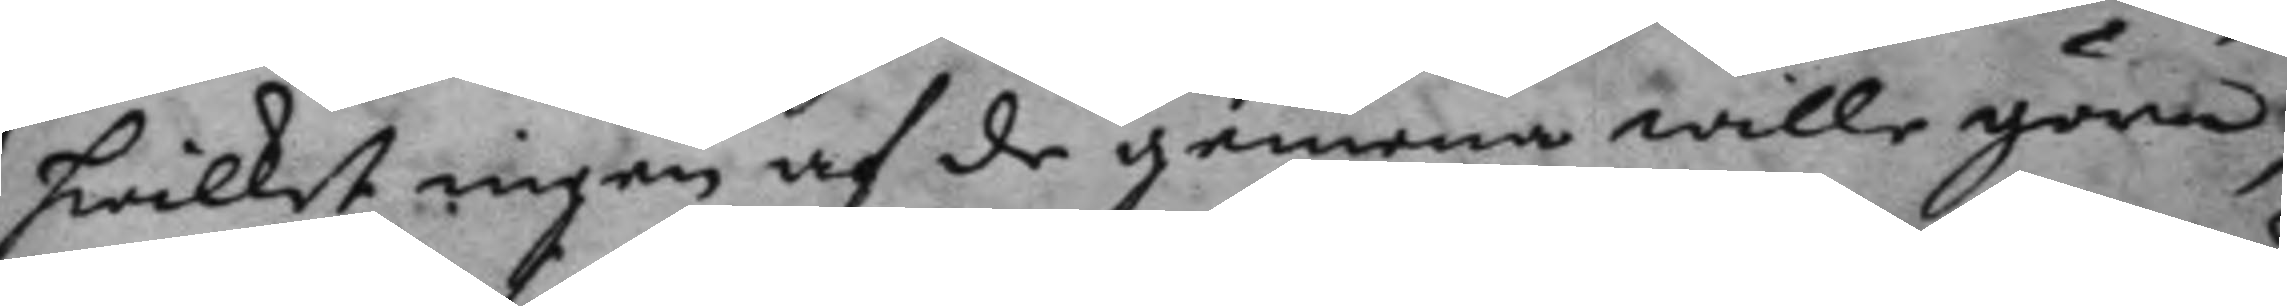hwilket ingen af de gemena wille göra
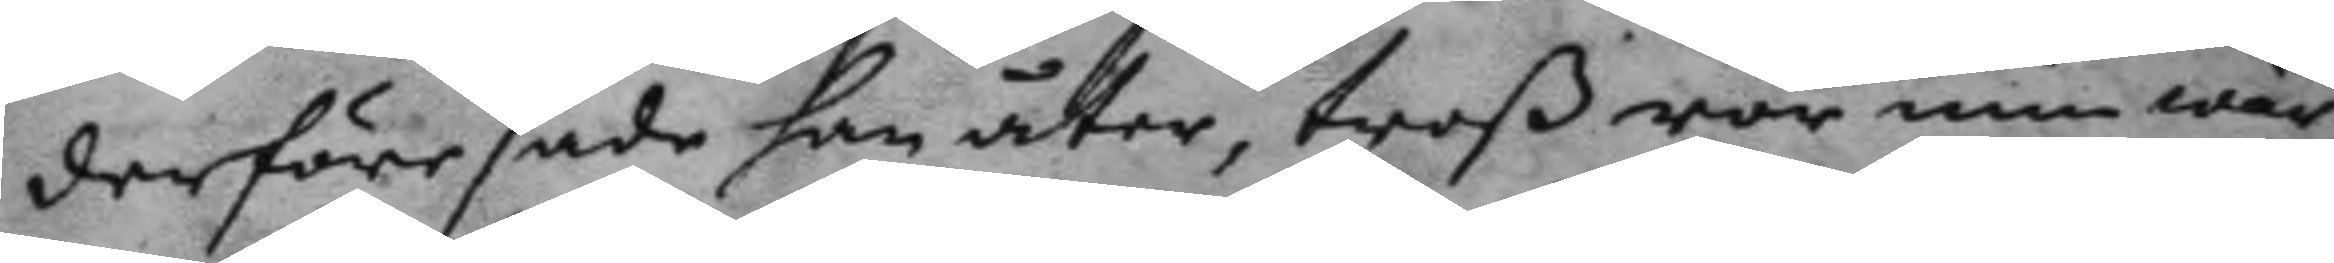derföre sade han åter, troß rör min wär¬
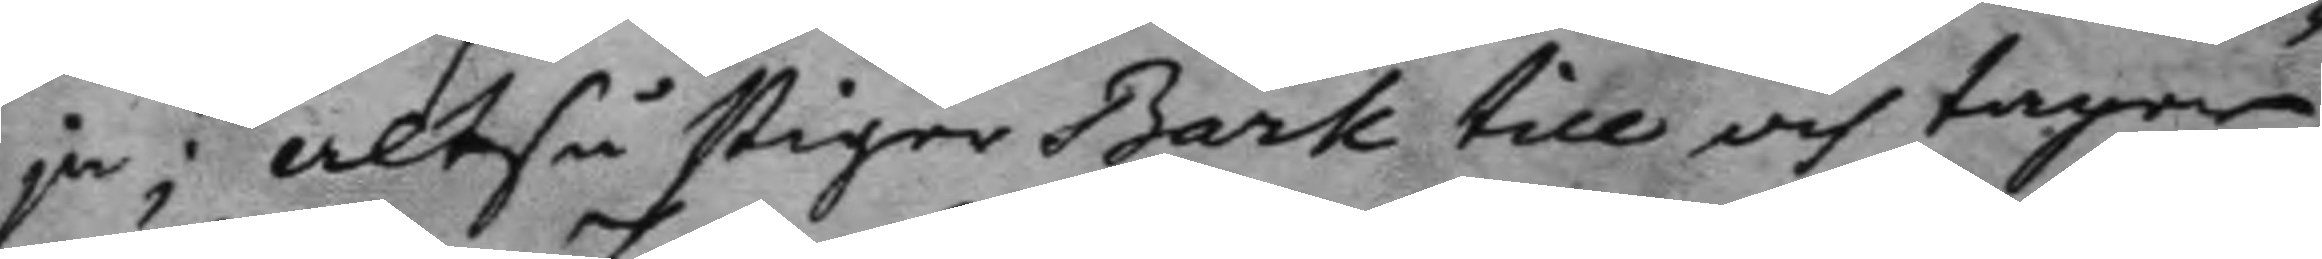ja; altså stiger Bark till och tager
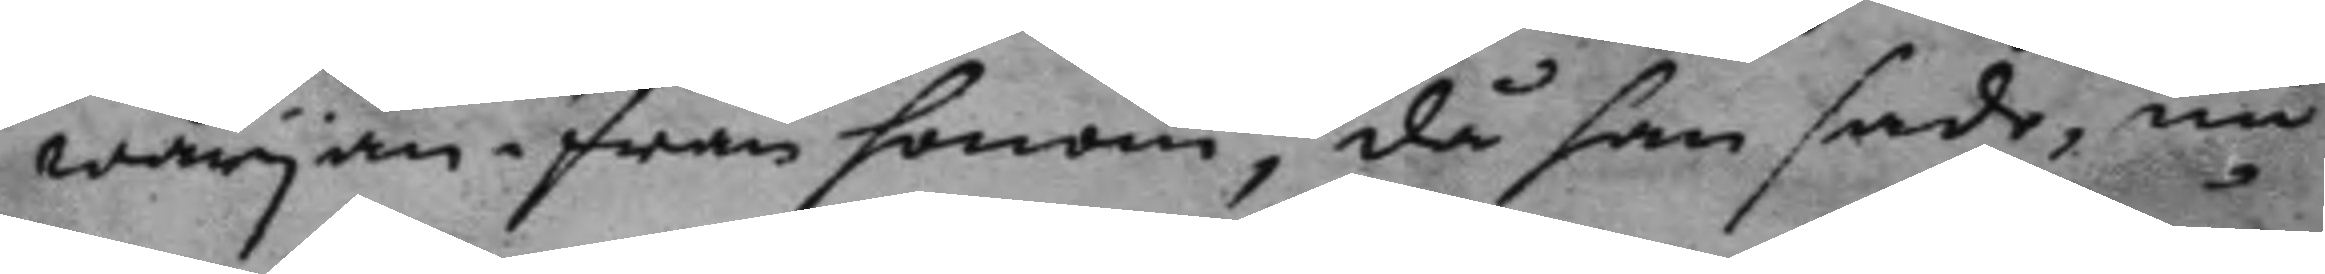wärjan i från honom, då han sade, nu
